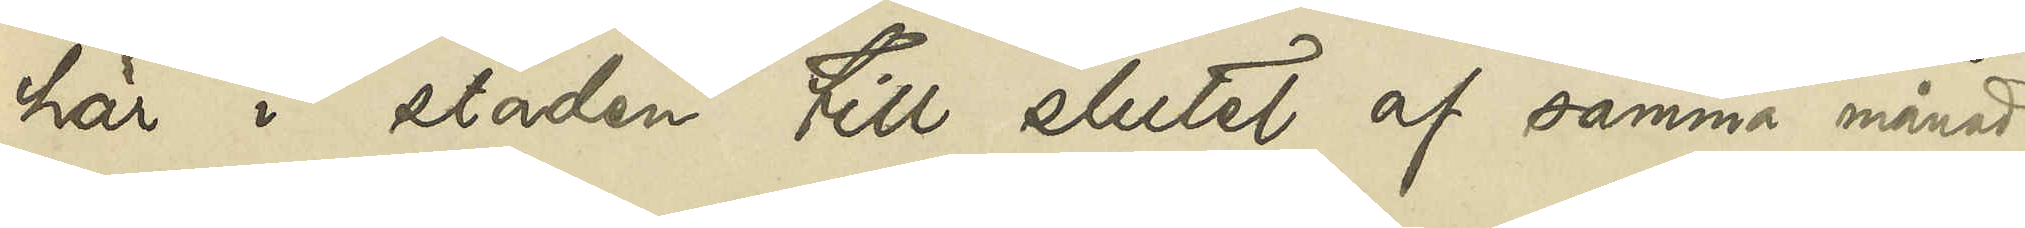här i staden till slutet af samma månad,
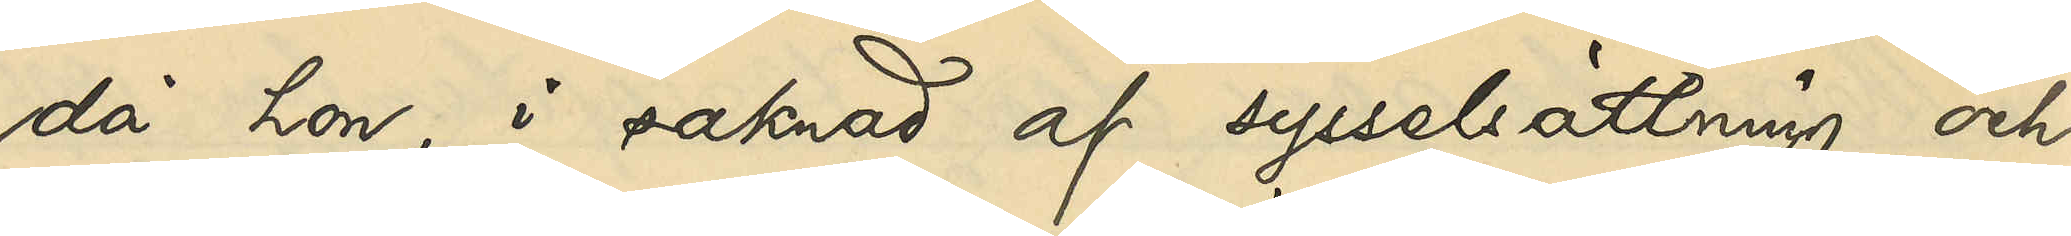då hon, i saknad af sysselsättning och
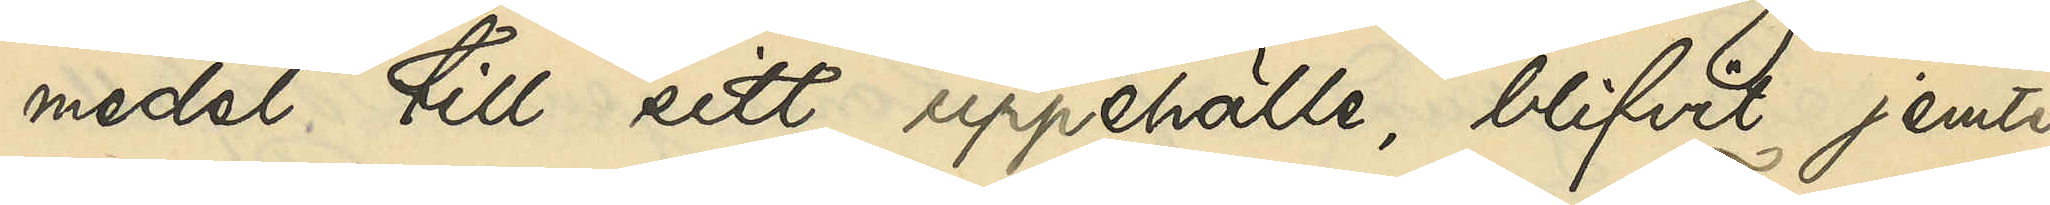medel till sitt uppehälle, blifvit jemte
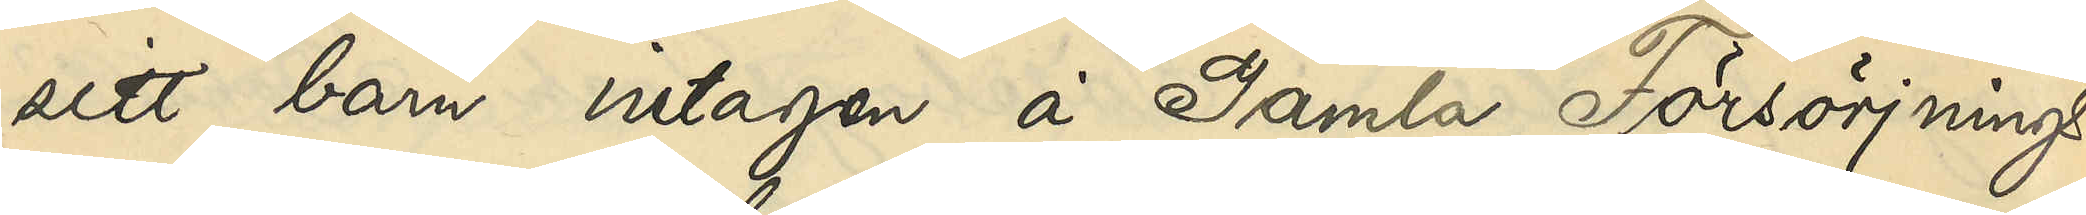sitt barn intagen å Gamla Försörjnings¬
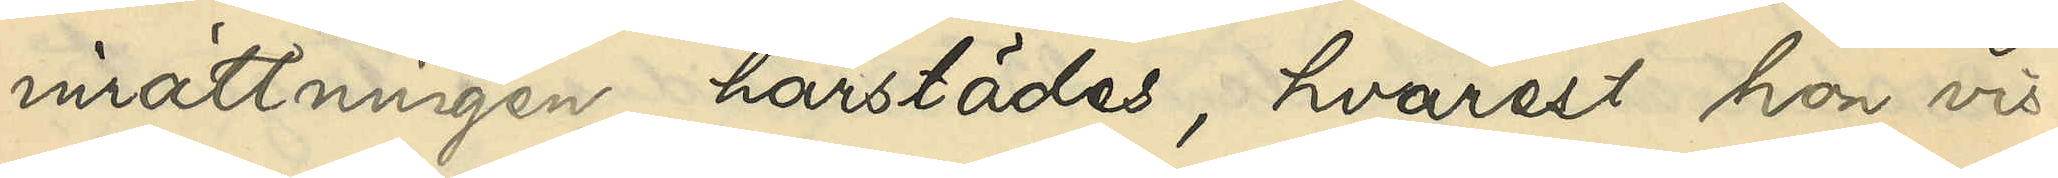inrättningen härstädes, hvarest hon vis¬
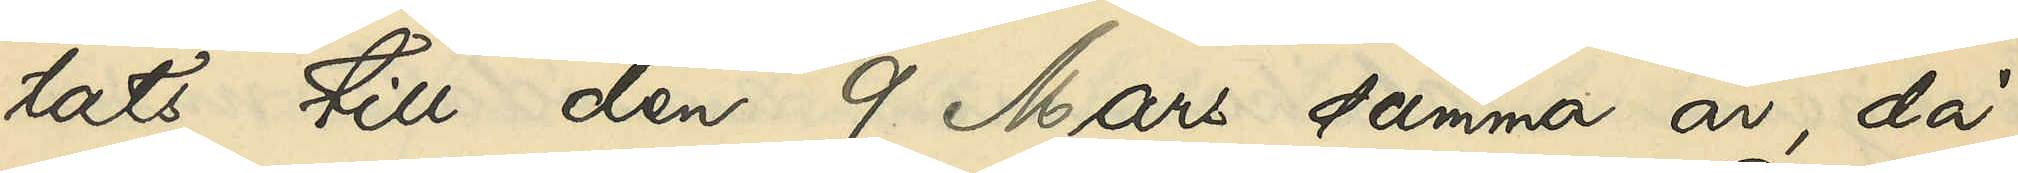tats till den 9 Mars samma år, då
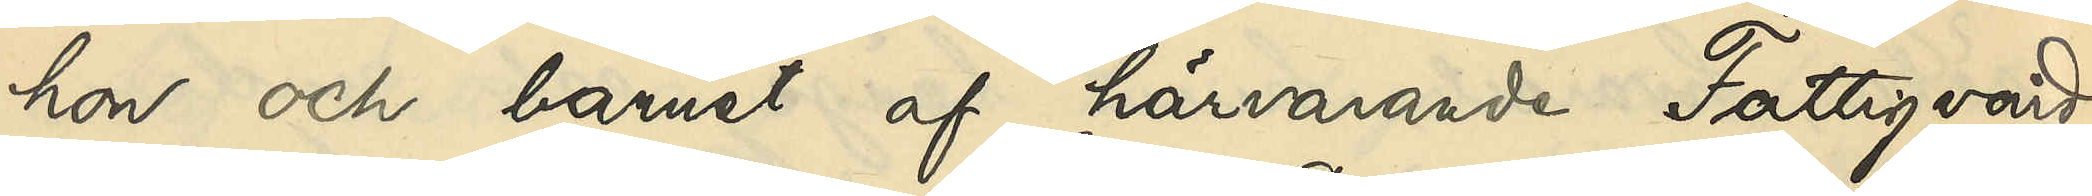hon och barnet af härvarande Fattigvård
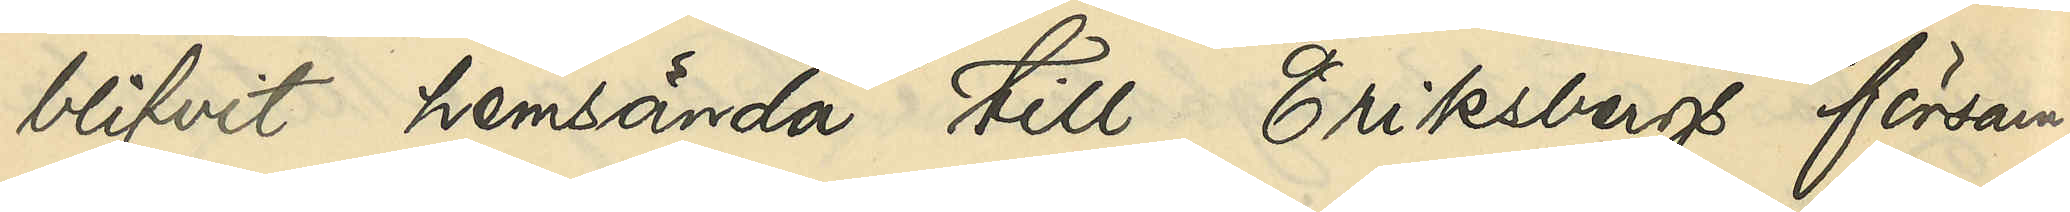blifvit hemsända till Eriksbergs försam¬
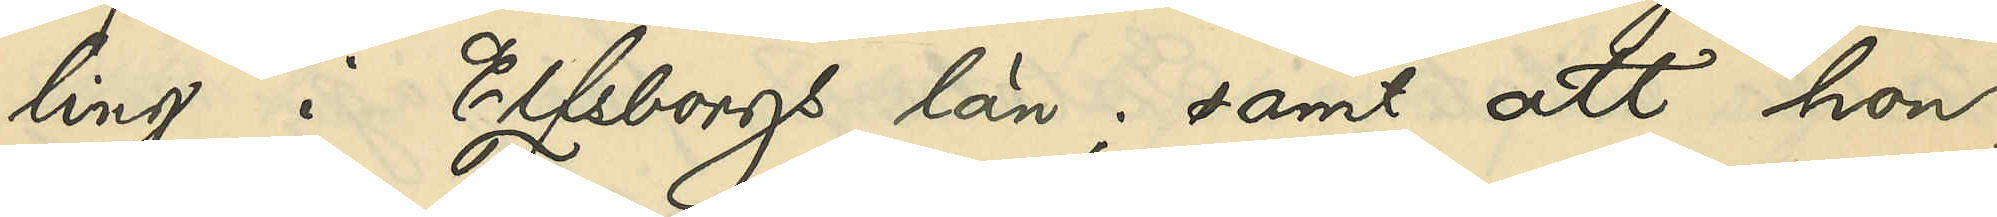ling i Elfsborgs län; samt att hon,
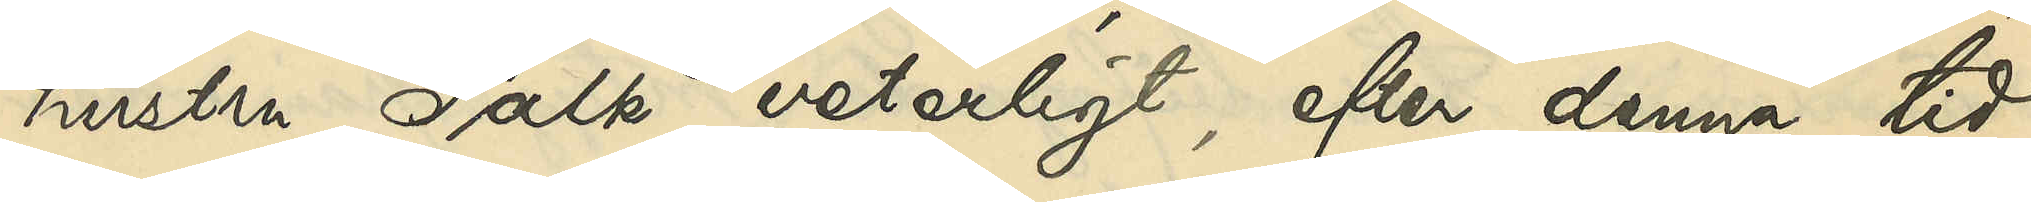hustru Falk veterligt, efter denna tid
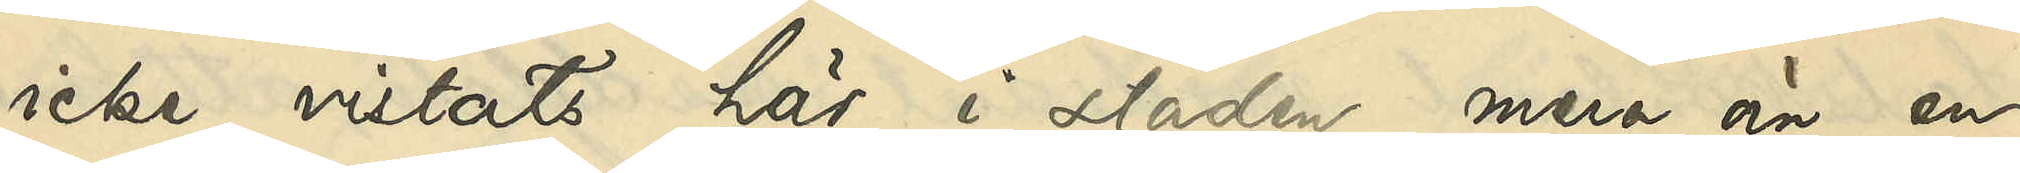icke vistats här i staden mera än en
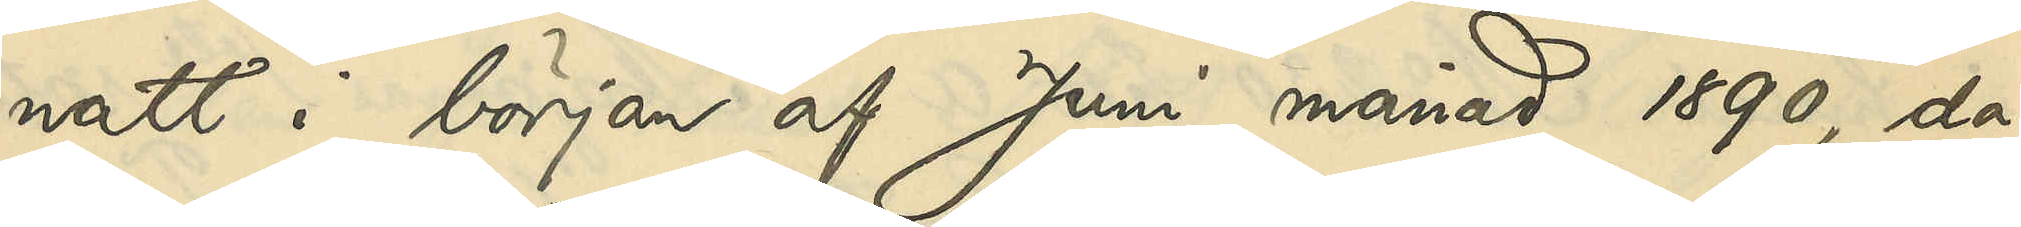natt i början af Juni månad 1890, då
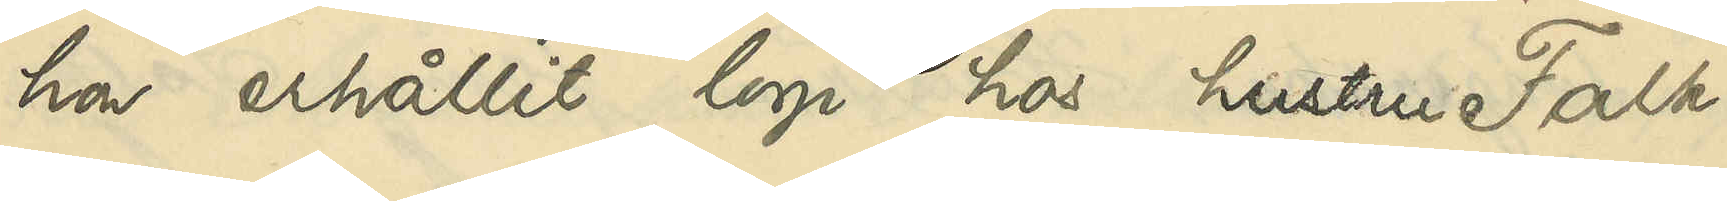hon erhållit logi hos hustru Falk.
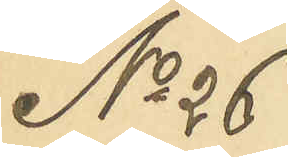No 26
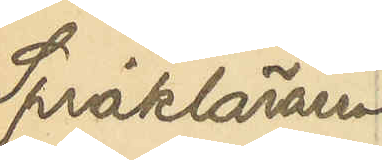Språkläraren
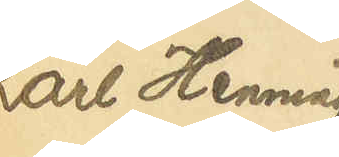Karl Henning
